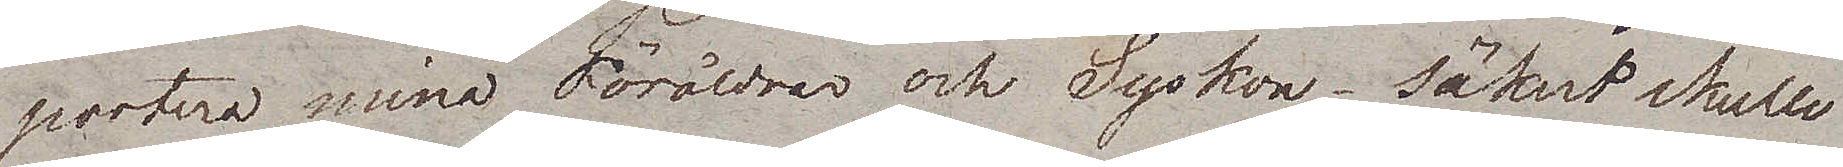portera mina Föräldrar och Syskon – säkert skulle
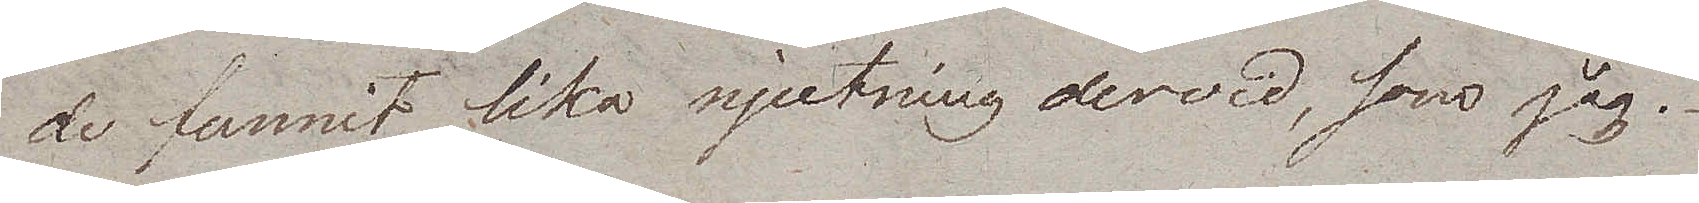de funnit lika njutning dervid, som jag.
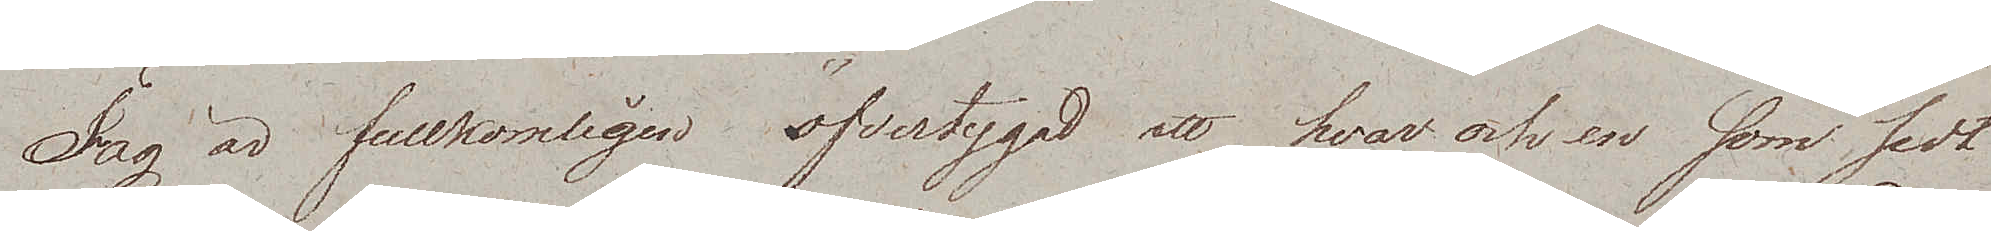Jag är fullkomligen öfvertygad att hvar och en som sedt
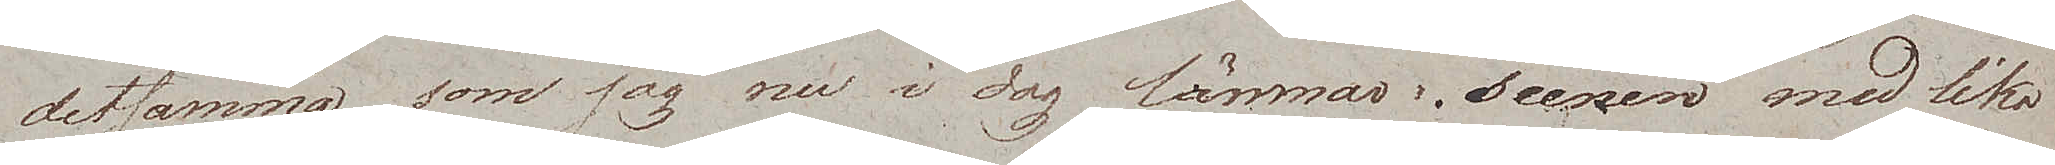detsamma som jag nu i dag lämmar Scenen med lika
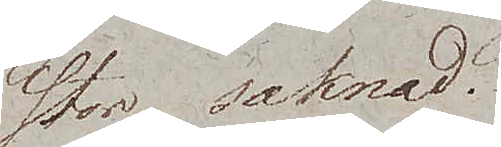stor saknad.
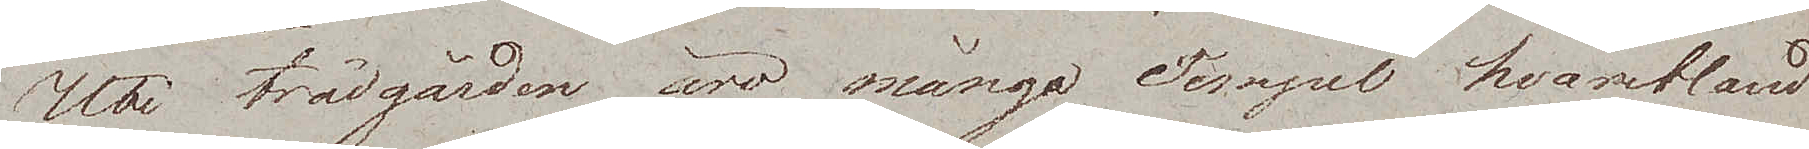Uti trädgården äro många Tempel hvaribland
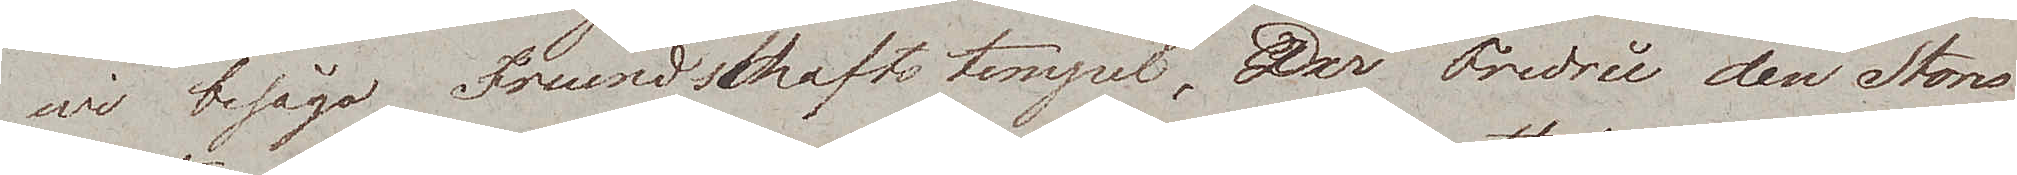wi besågo Freundschaftstempel, der Fredric den Stores
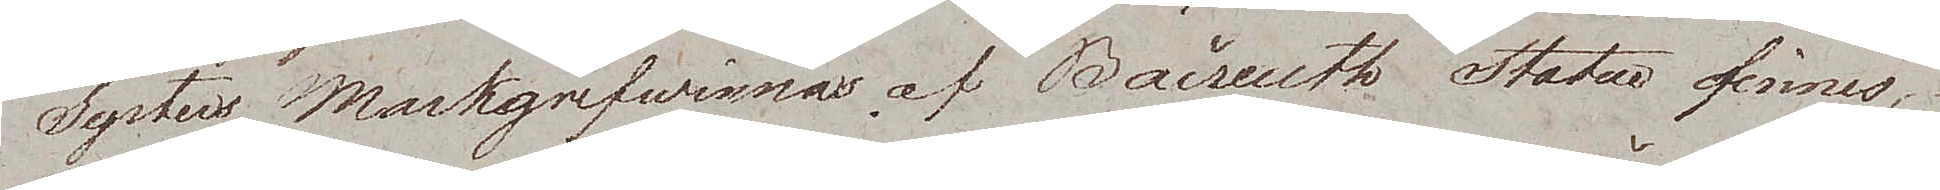Systers Markgrefwinnan af Baireuth Statue finnes,
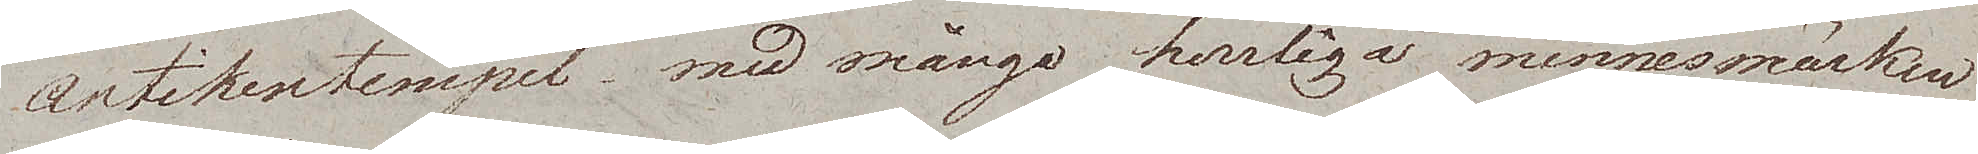Antikentempel med många herrliga minnesmärken
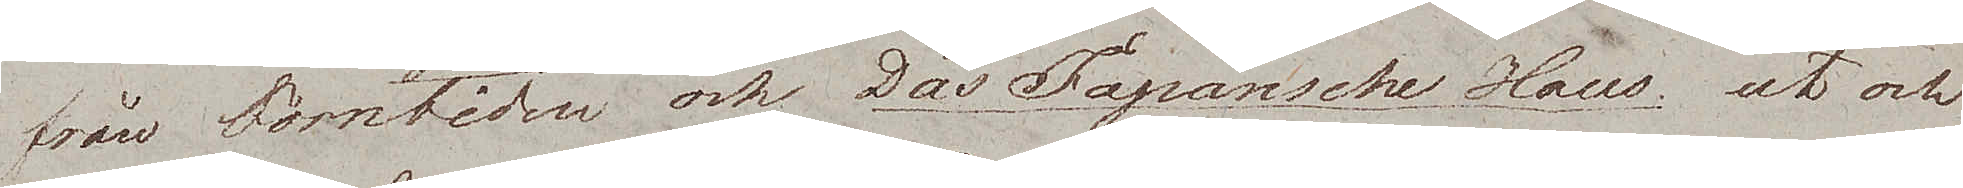från forntiden och Das Japansche Haus, ut och
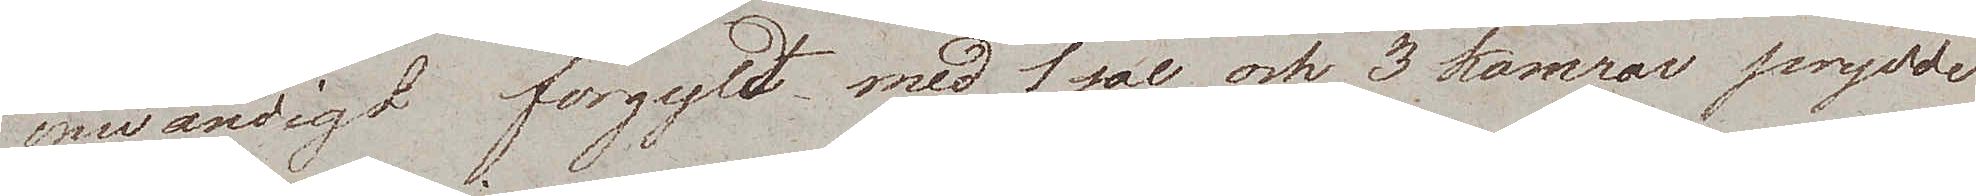inwändigt förgyldt med 1 sal och 3 kamrar prydde
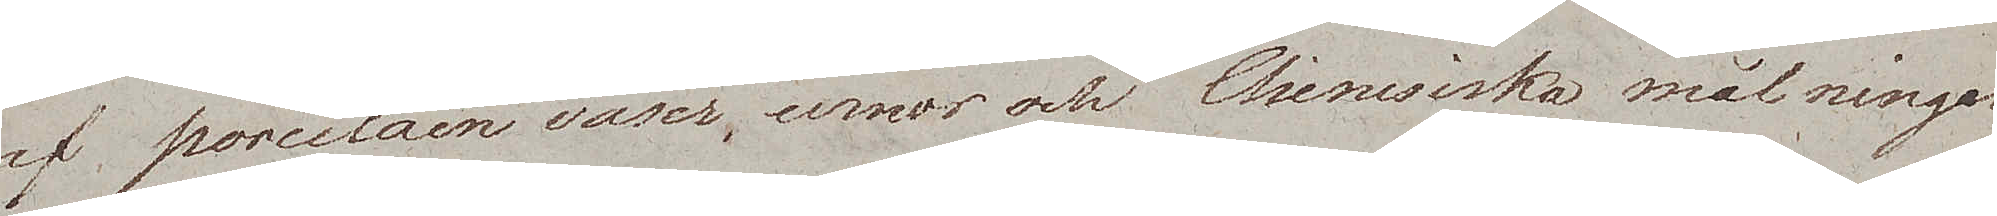af poreclain vaser, urnor och Chinesiska målningar.
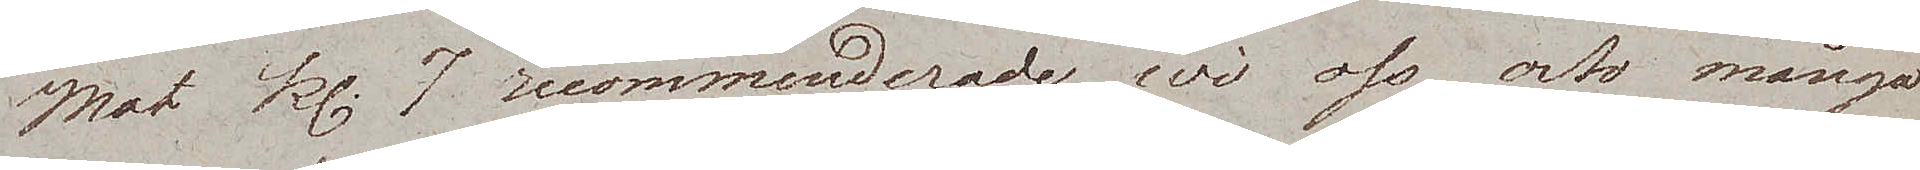Mot kl. 7 recommenderade wi oss, och många
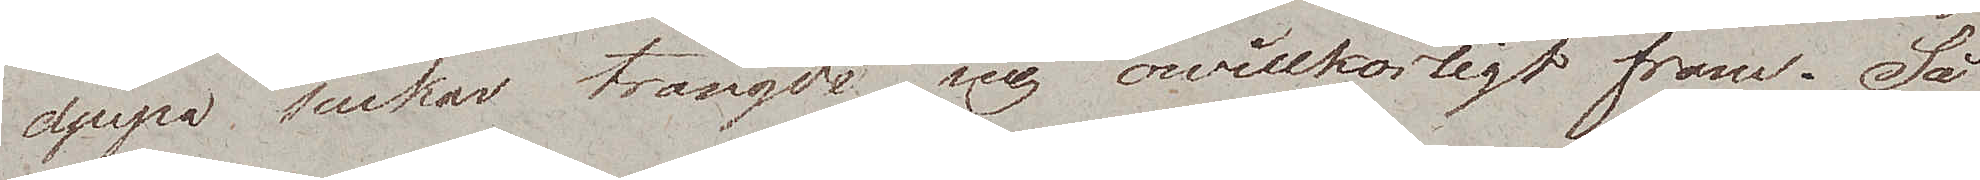djupa suckar trängde sig owillkorligt fram. Så
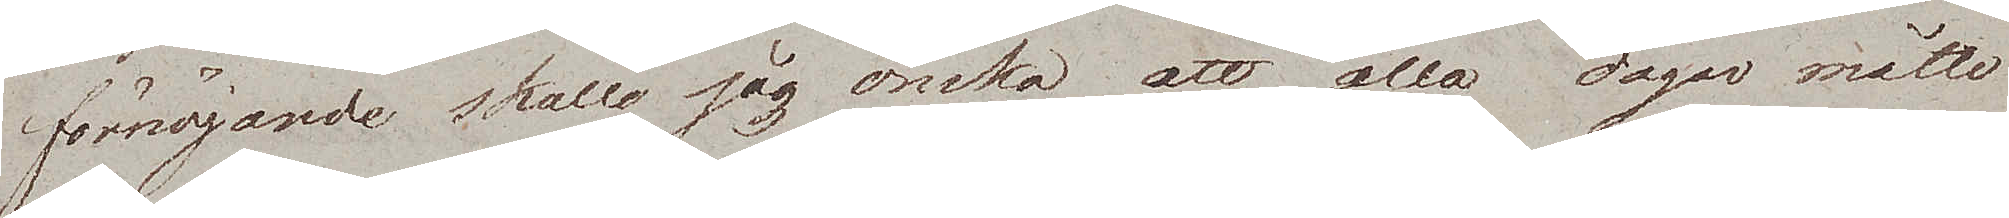förnöjande skulle jag önska att alla dagar måtte
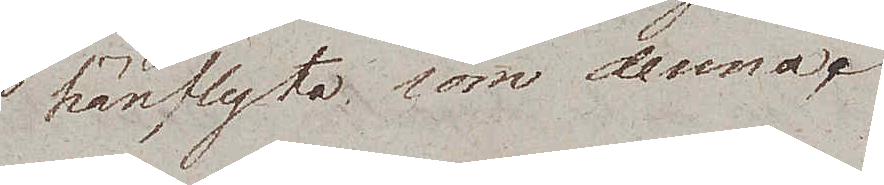hänflyta som denna.
